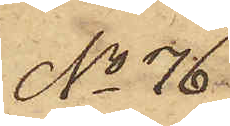No 76
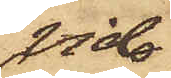vid
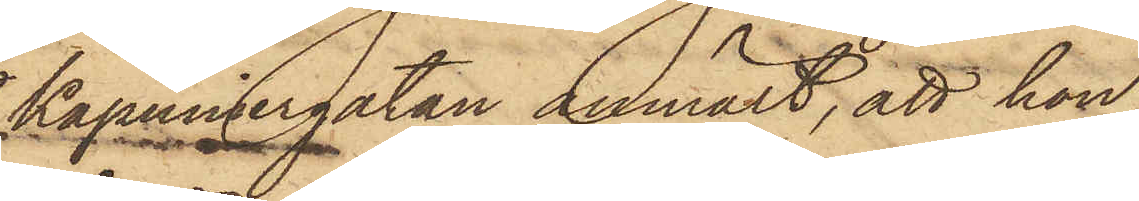Kapuniergatan anmält, att hon
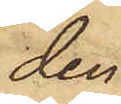den
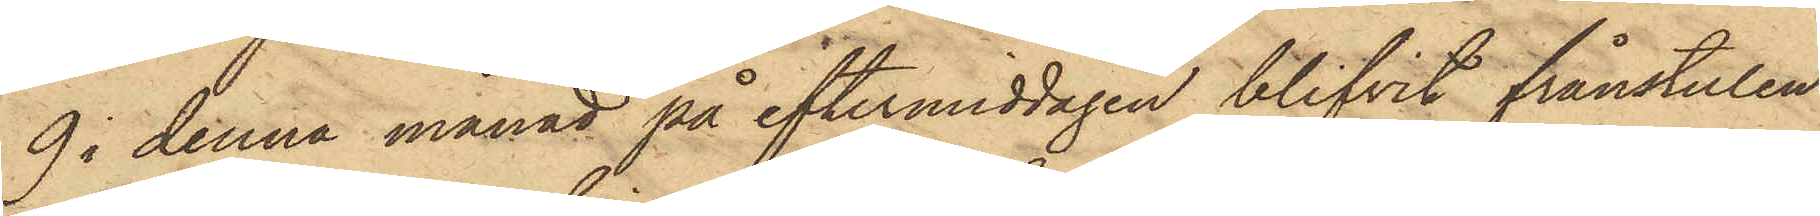9 i denna månad på eftermiddagen blifvit frånstulen
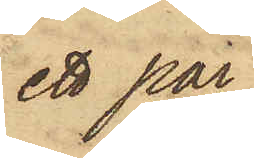ett par
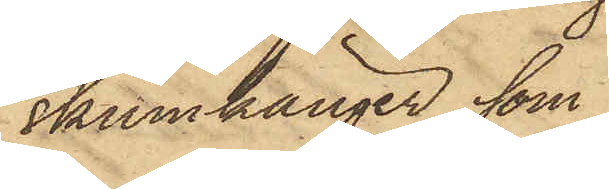skinnkänger, som
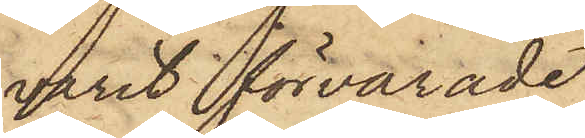varit förvarade
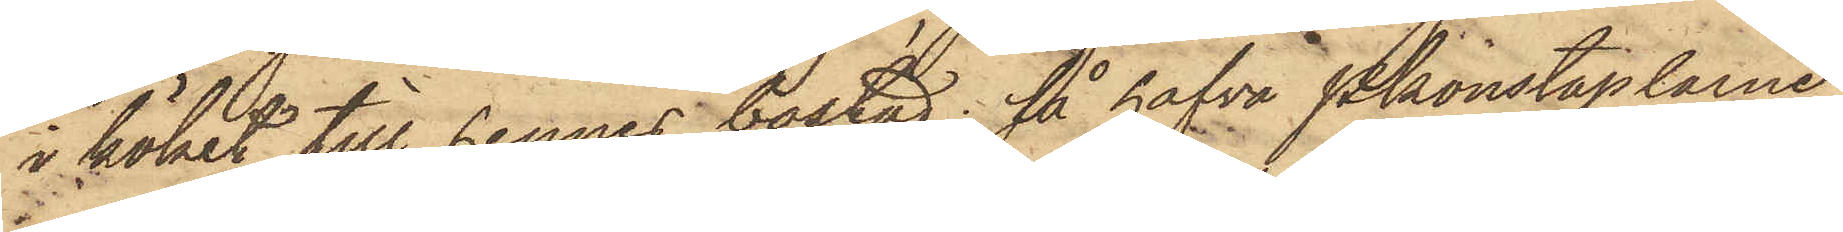i köket till hennes bostad; så hafva Pkonstaplarne
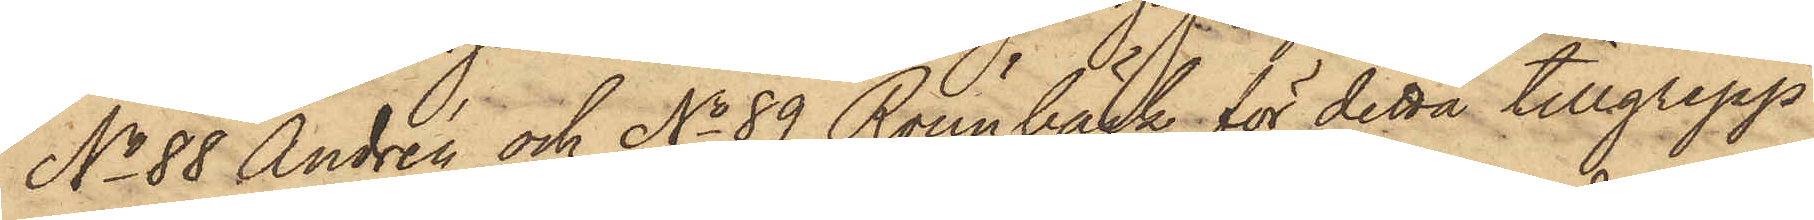No 88 Andrén och No 89 Rönnbäck för detta tillgrepp
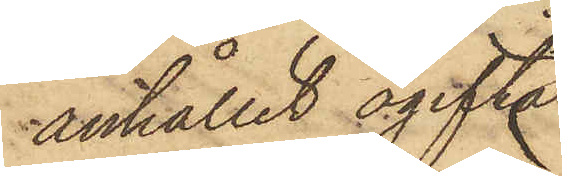anhållit ogifta
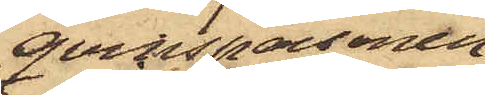qvinspersonen
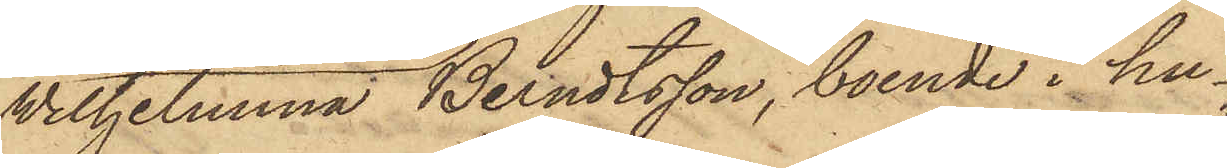Wilhelmina Berndtsson, boende i hu¬
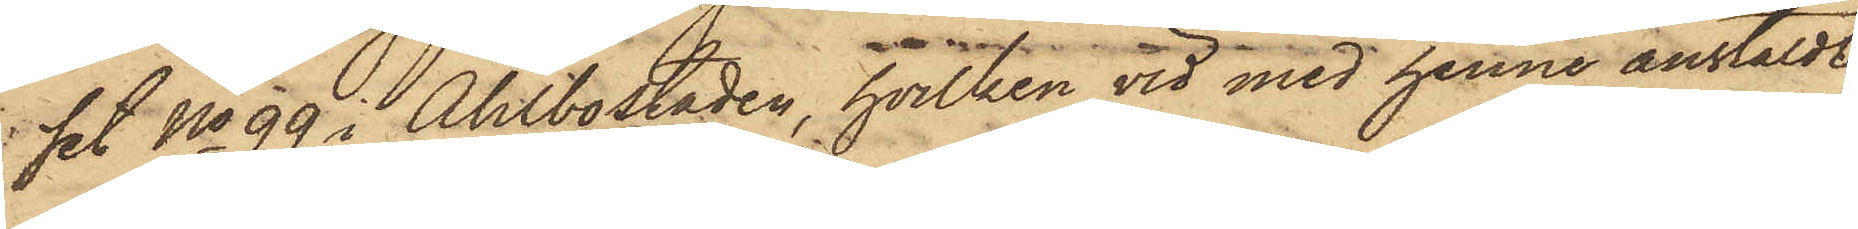set No 99 i Ahlbostaden, hvilken vid med henne anstäldt
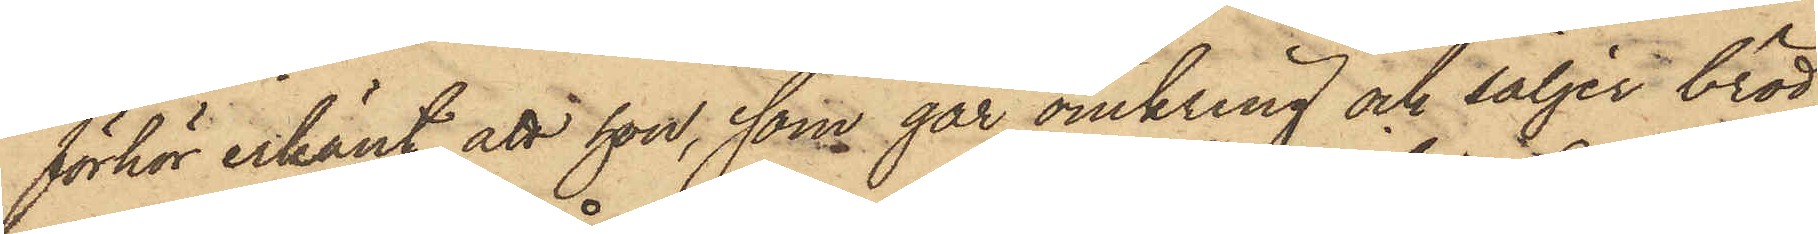förhör erkänt, att hon, som går omkring och säljer bröd,
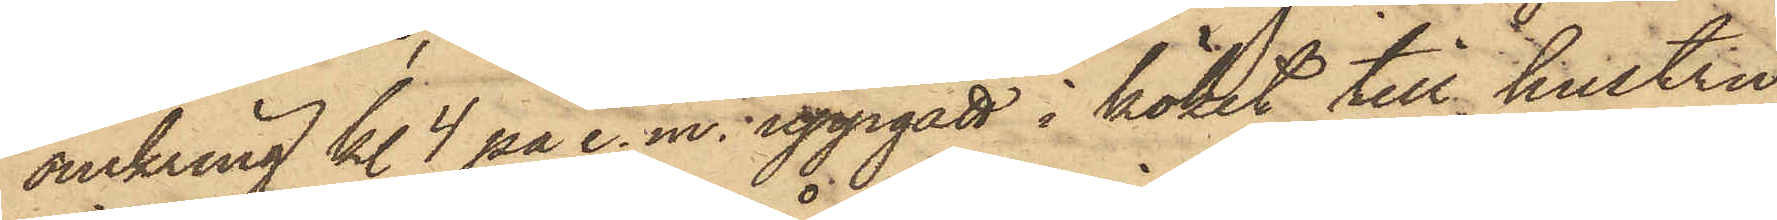omkring kl. 4 på e.m. uppgått i köket till hustru
